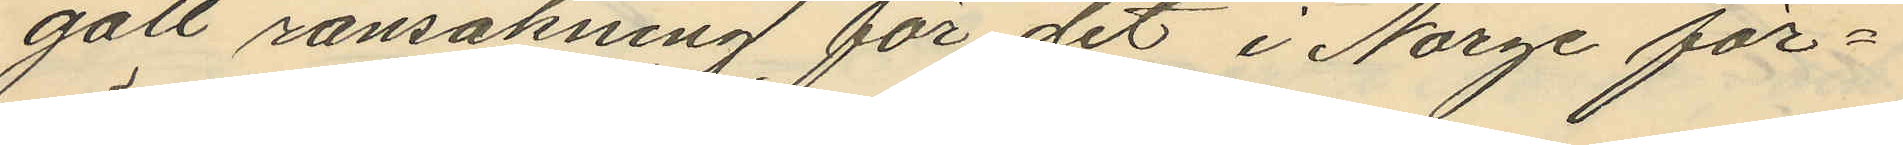gått ransakning för det i Norge för¬
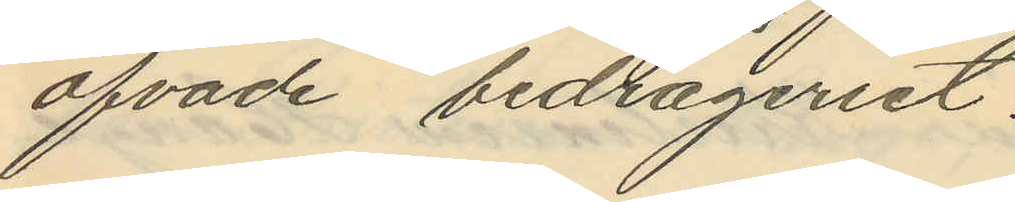öfvade bedrägeriet;
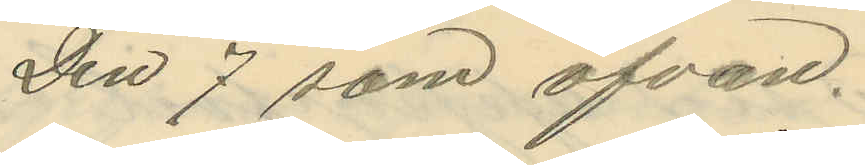Den 7 som ofvan.
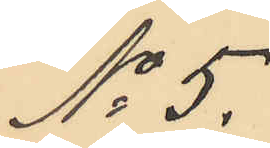No 5.
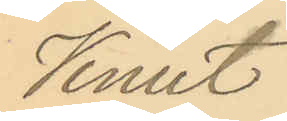Knut
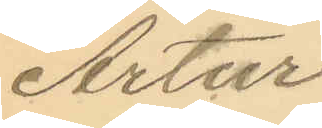Artur
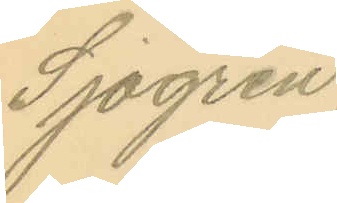Sjögren.
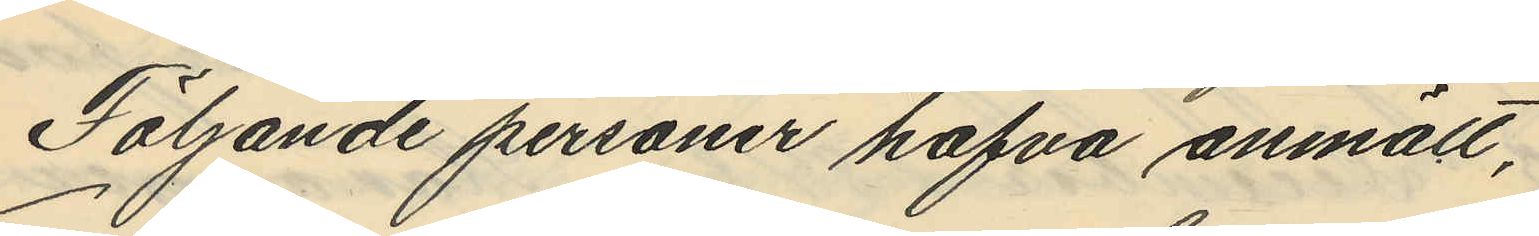Följande personer hafva anmält,
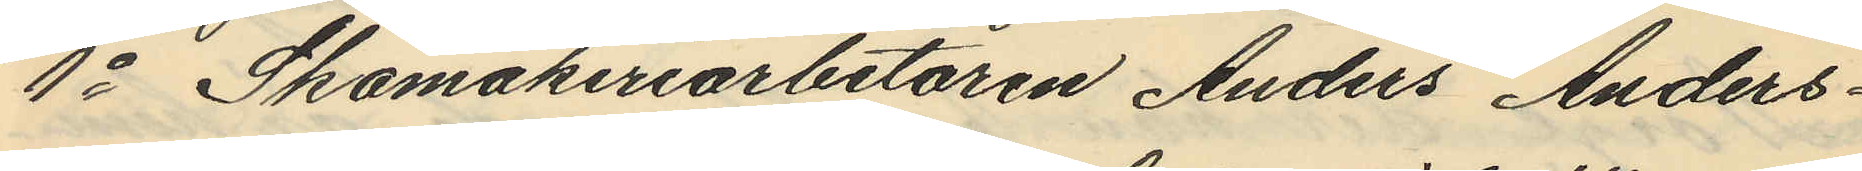1o Skomakeriarbetaren Anders Anders¬
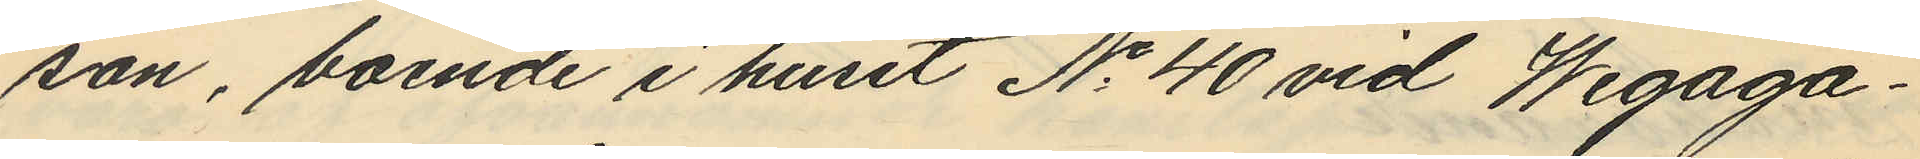son, boende i huset No 40 vid Wegaga¬
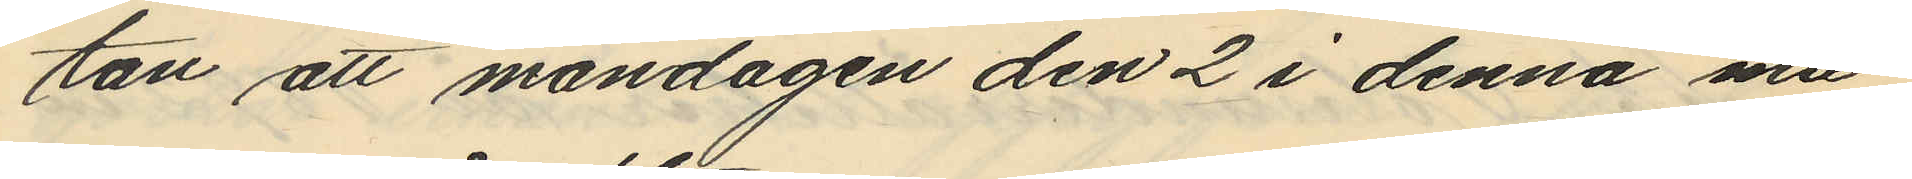tan att måndagen den 2 i denna må¬
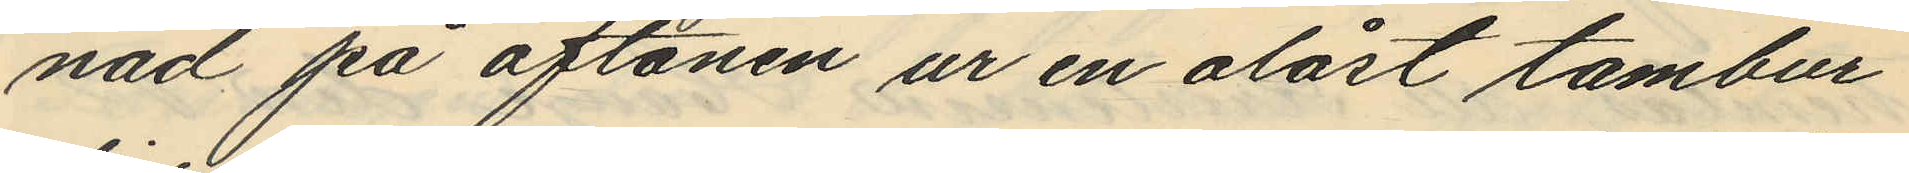nad på aftonen ur en olåst tambur,
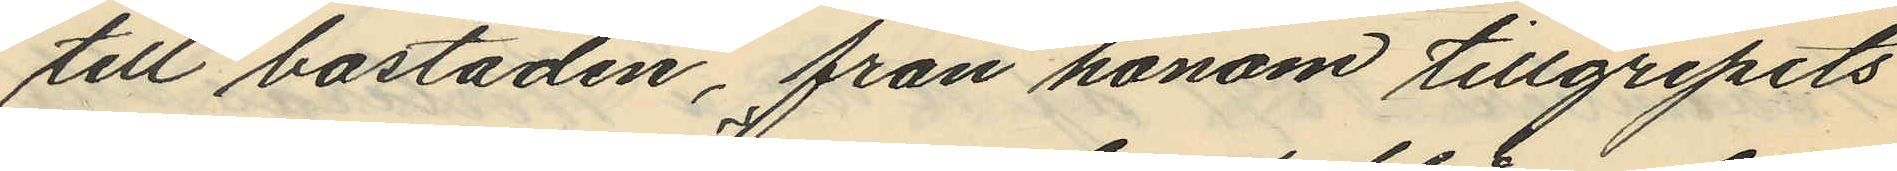till bostaden, från honom tillgripits
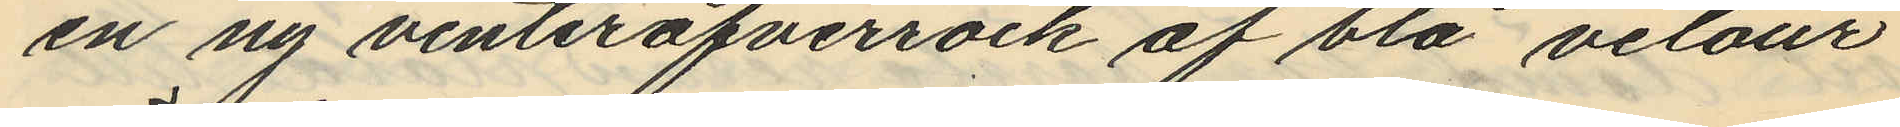en ny vinteröfverrock af blå velour
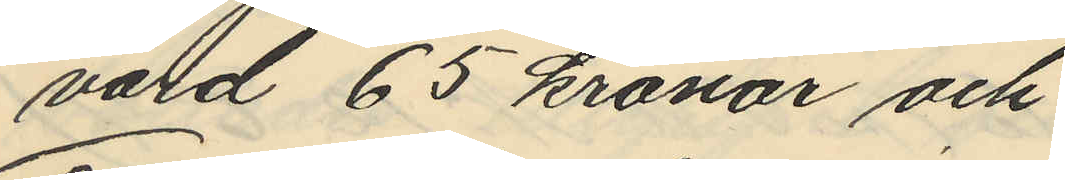värd 65 kronor och
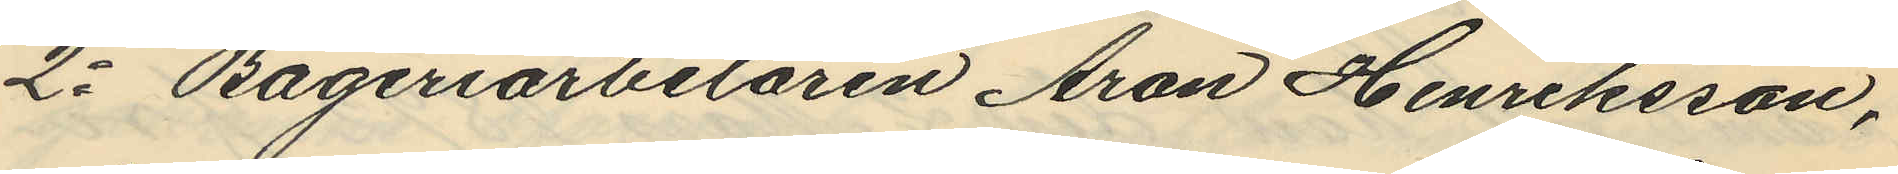2o Bageriarbetaren Aron Henriksson,
